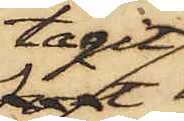tagit
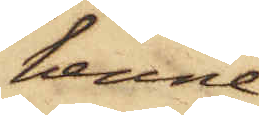henne,
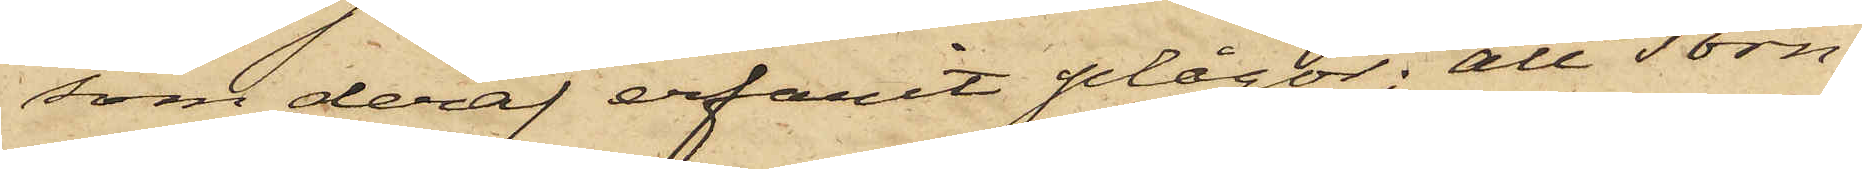som deraf erfarit plågor; att Torn¬
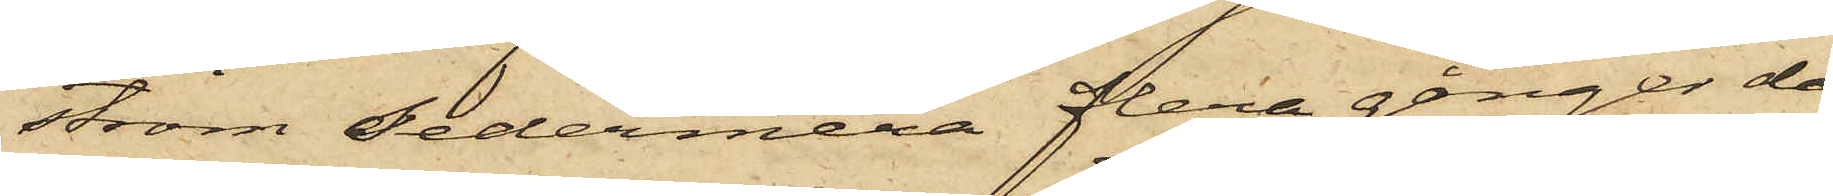ström sedermera flera gånger då
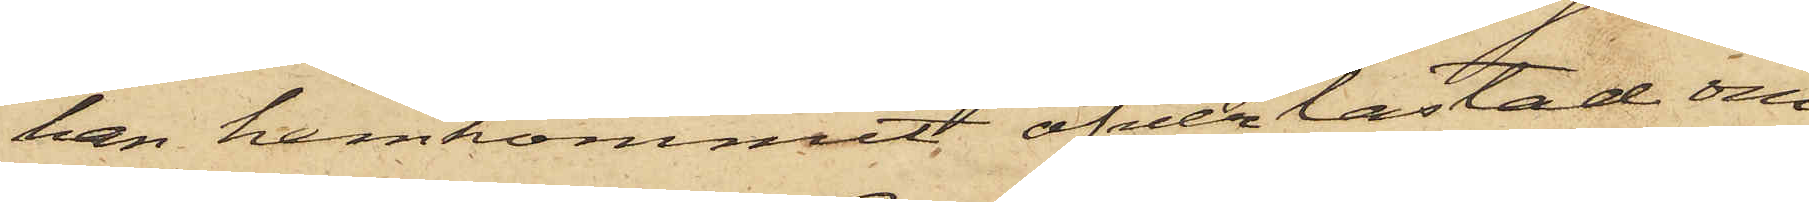han hemkommit öfverlastad om
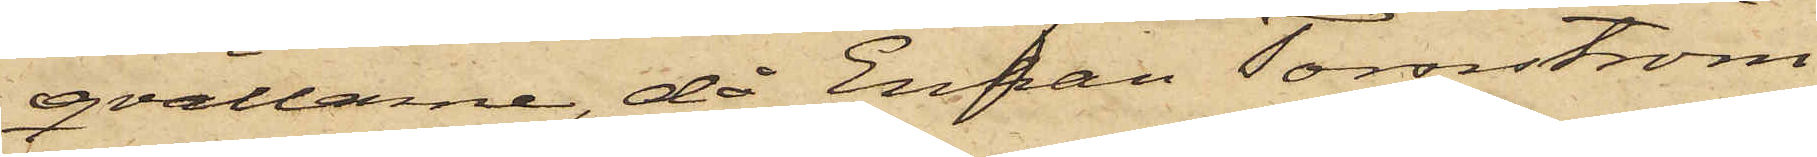qvällarne, då Enkan Tornström
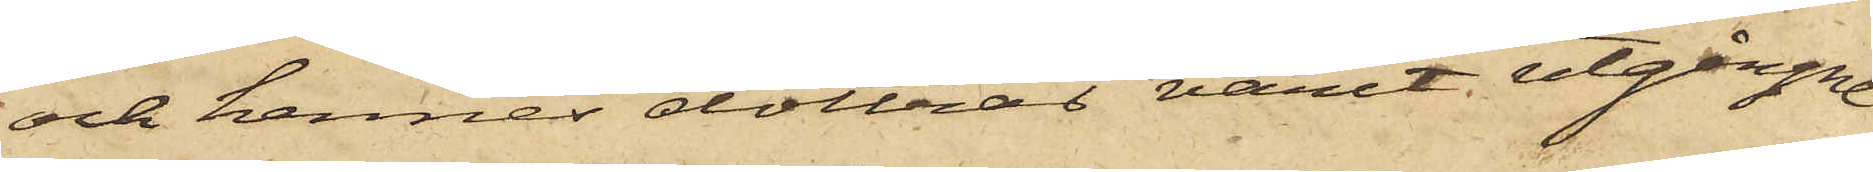och hennes döttrar varit utgångne
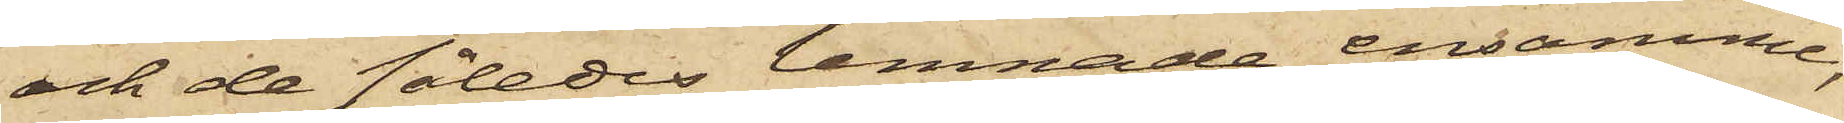och de således lemnade ensamma,
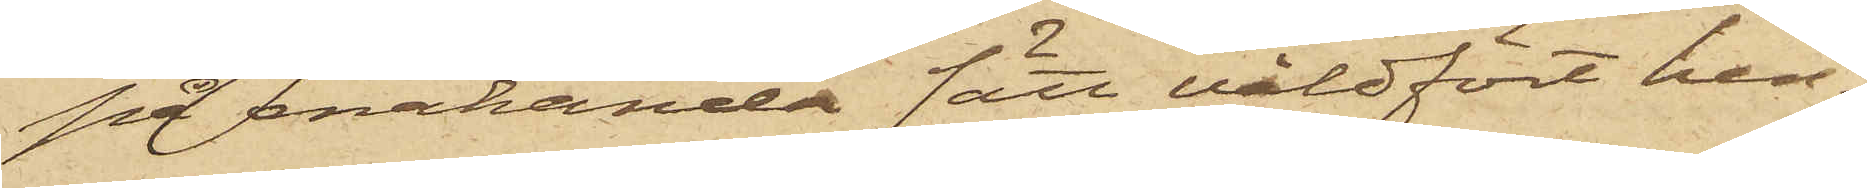på enahanda sätt våldfört hen¬
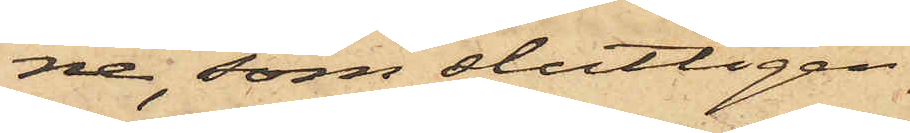ne, som slutligen
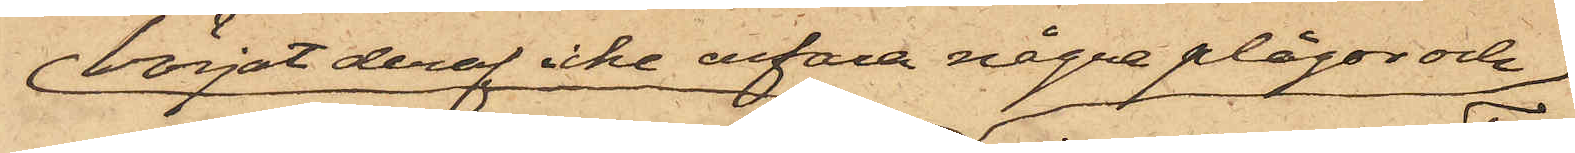börjat deraf icke erfara några plågor och
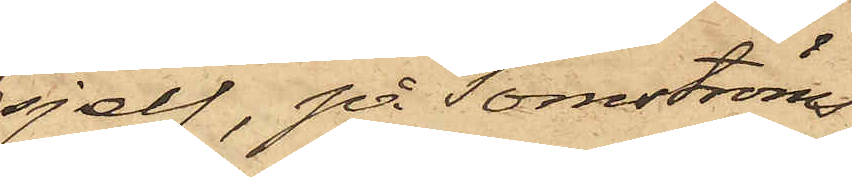sjelf, på Tornströms
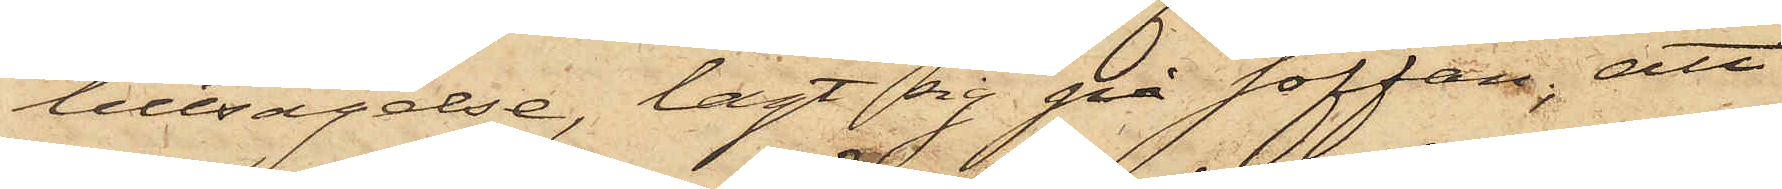tillsägelse, lagt sig på soffan; att
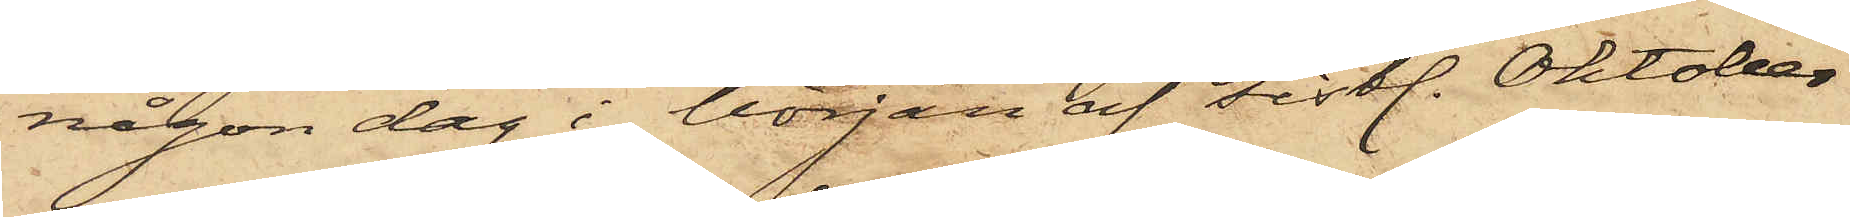någon dag i början af sistl. Oktober
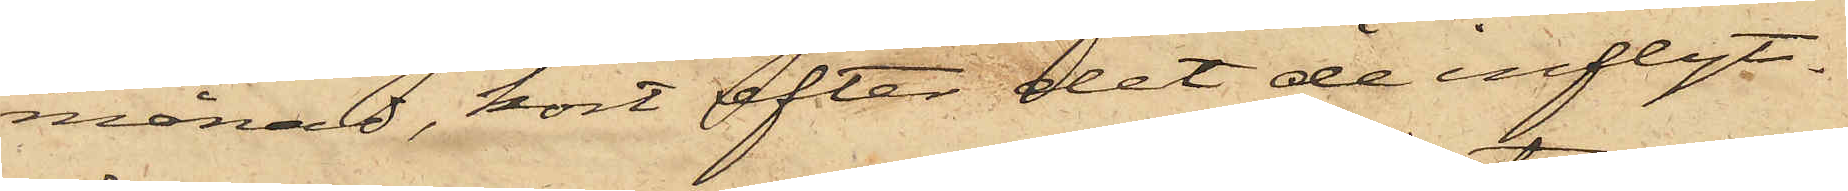månad, kort efter det de inflyt¬
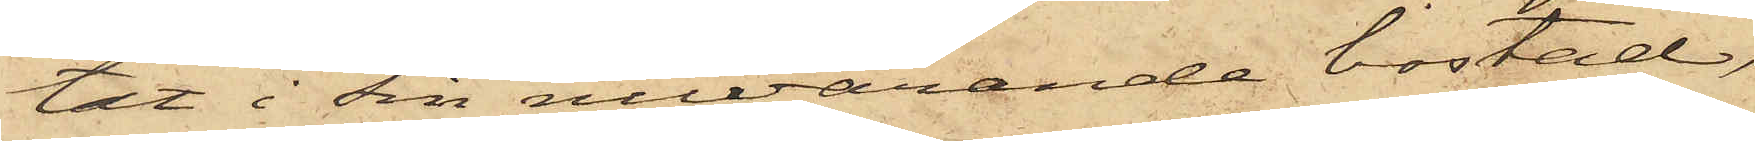tat i sin nuvarande bostad,
